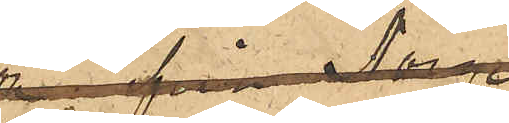 inlemnat 
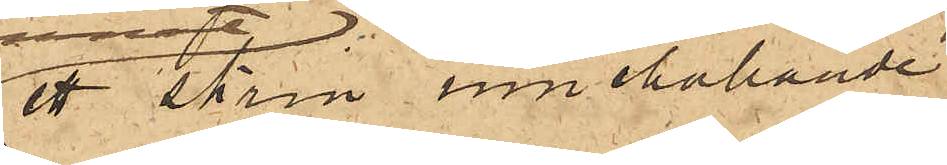ett skrin innehållande:
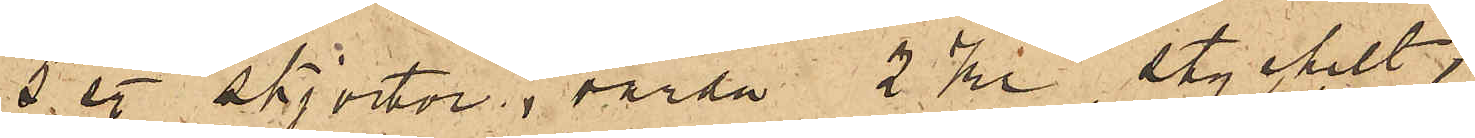5 sty. skjortor, värda 2 Kr stycket;
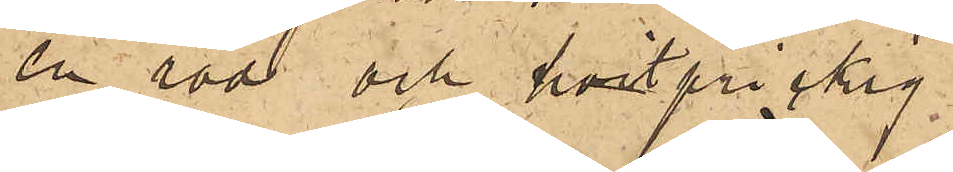en röd och hvitprickig
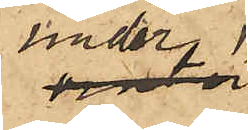under¬
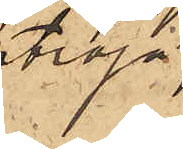tröja
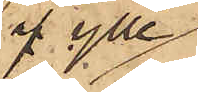af ylle,
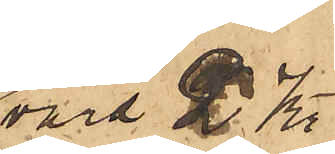värd 2 Kr;
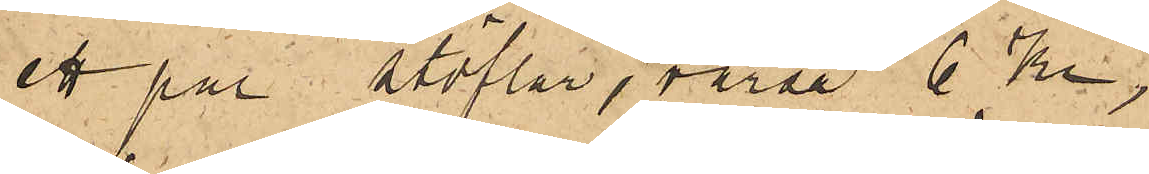ett par stöflar, värda 6 kr;
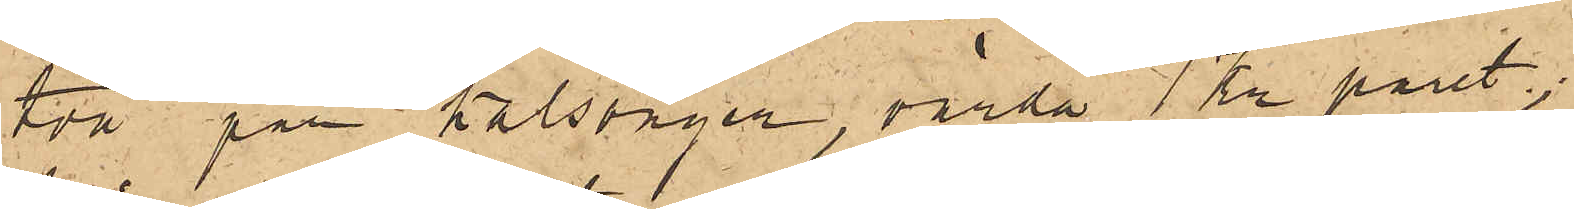två par kalsonger, värda 1 Kr paret;
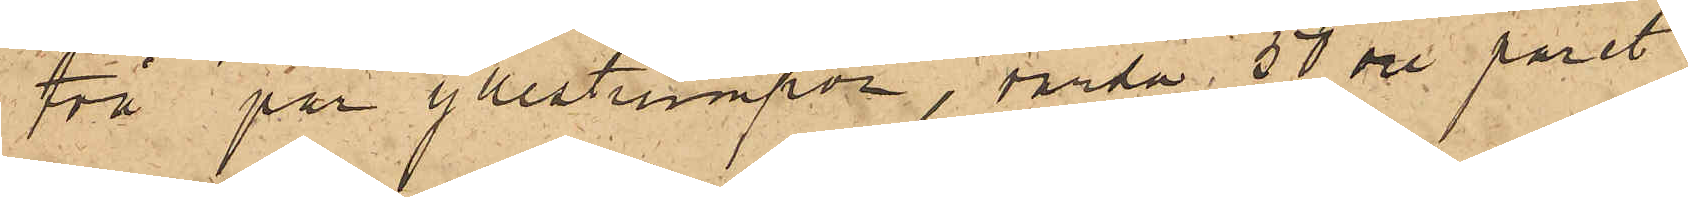två par yllestrumpor, värda 50 öre paret;
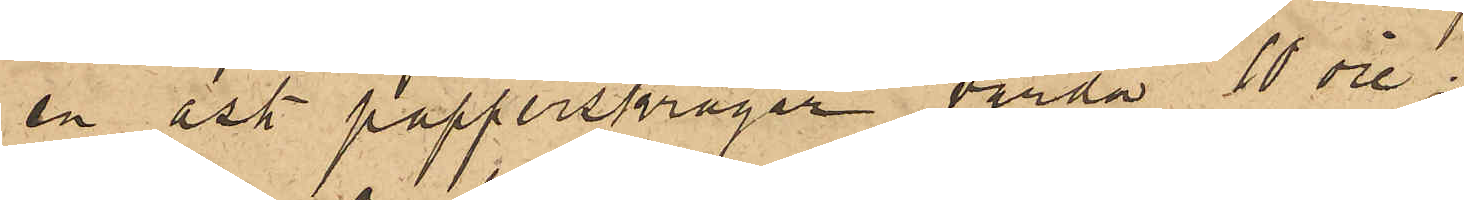en ask papperskragar, värda 10 öre;
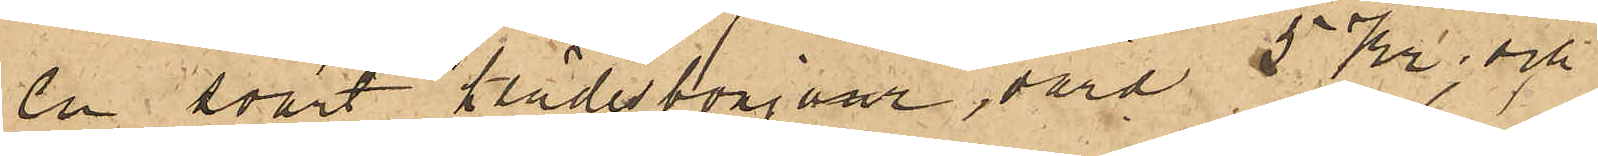en svart klädesbonjour, värd 5 Kr; och
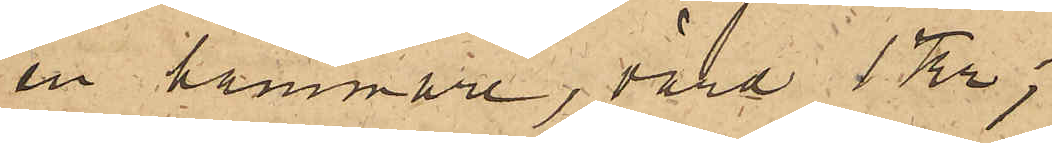en hammare, värd 1 Kr;
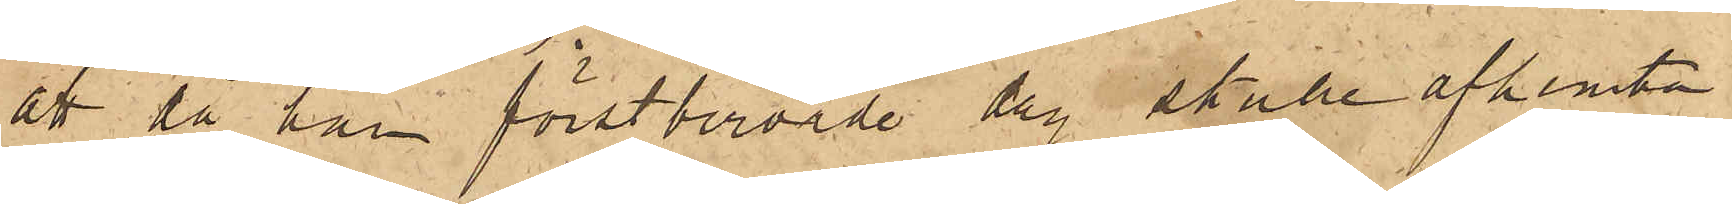att då han förstberörde dag skulle afhemta
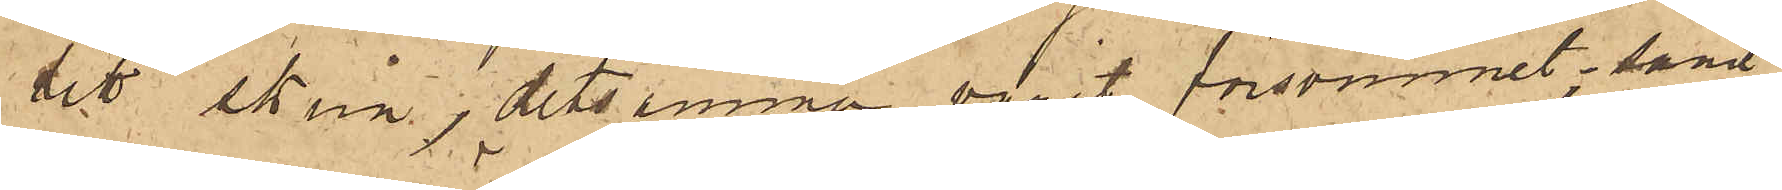sitt skrin, detsamma varit försvunnet; samt
